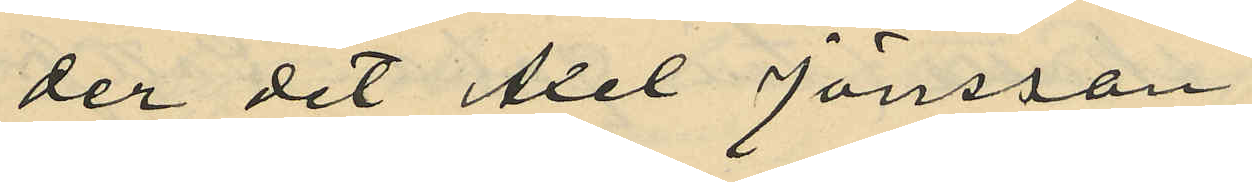der det Axel Jönsson
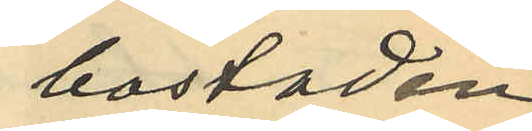i bostaden
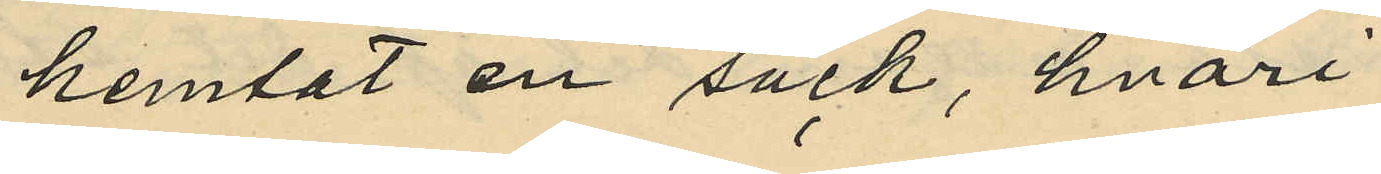hemtat en säck, hvari
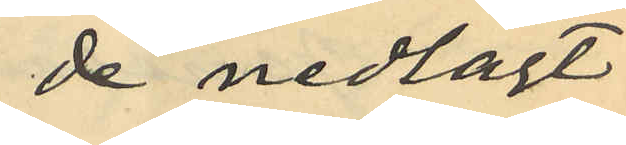de nedlagt
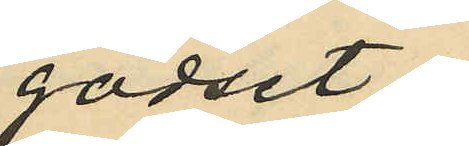godset;
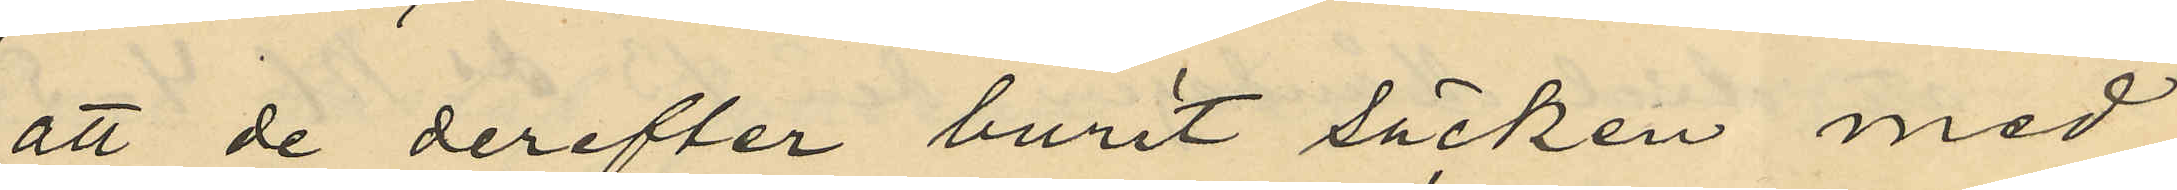att de derefter burit säcken med
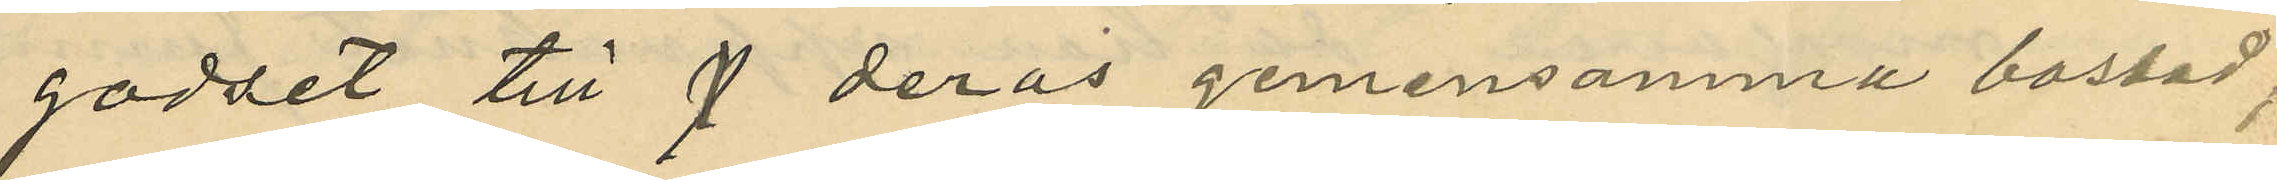godset till  deras gemensamma bostad;
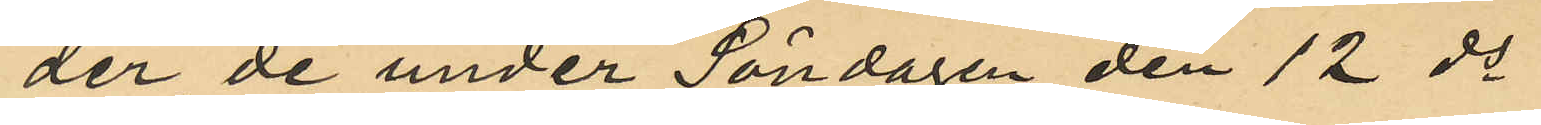der de under Söndagen den 12 ds
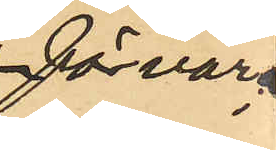fövarat
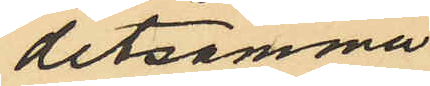detsamma
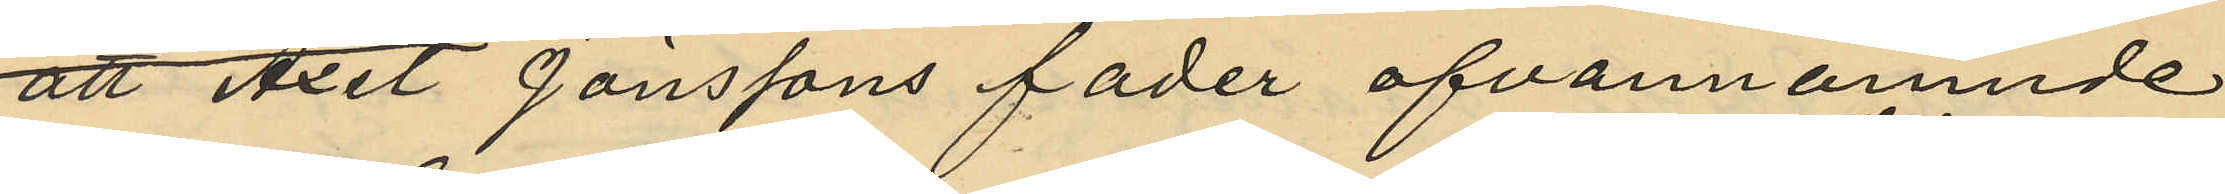att Axel Jönssons fader ofvannämnde
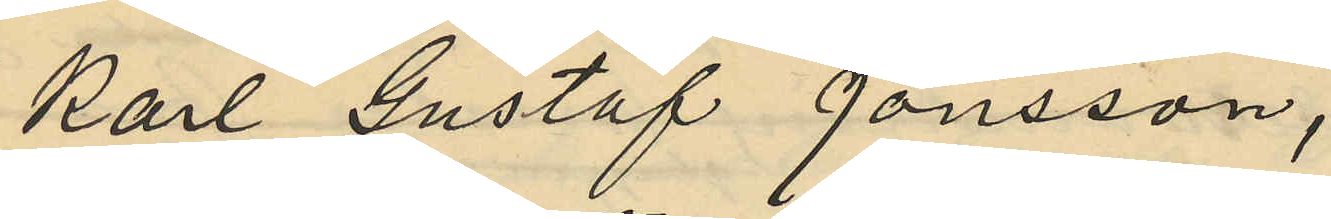Karl Gustaf Jönsson,
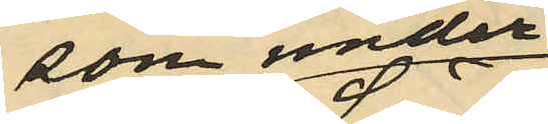som under
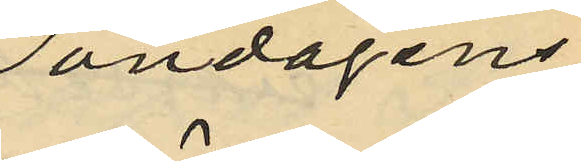söndagens
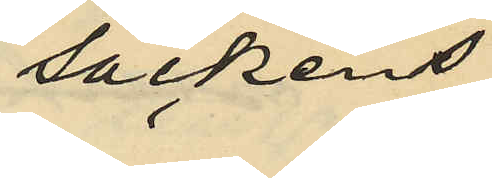säckens
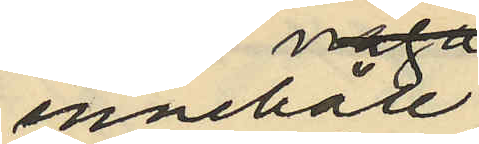innehåll
